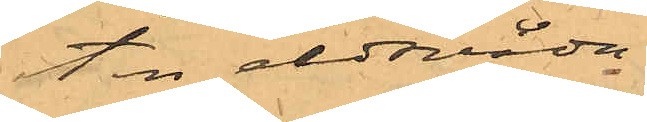ten eldvåda.
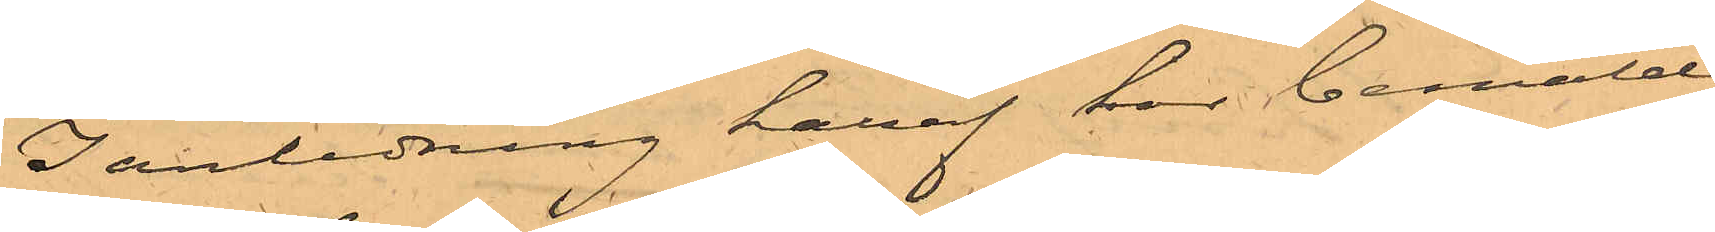I anledning häraf har bemälde
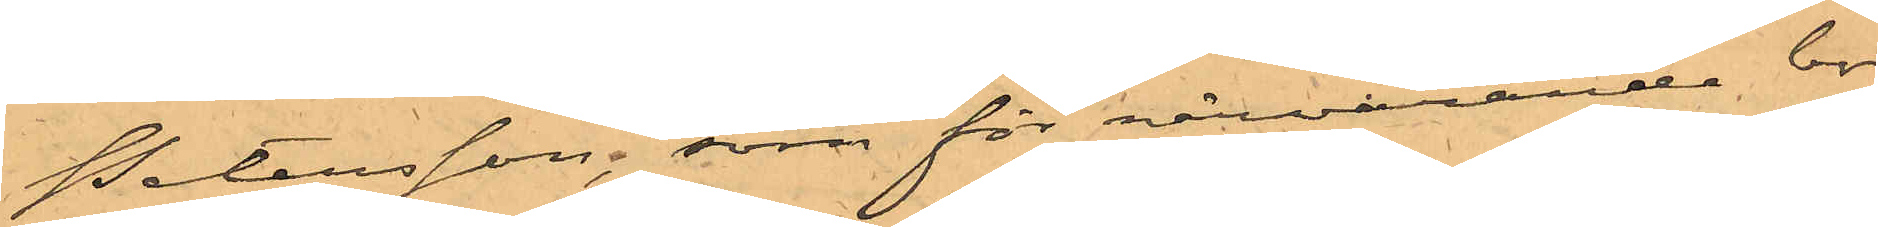Petersson, som för närvarande bor
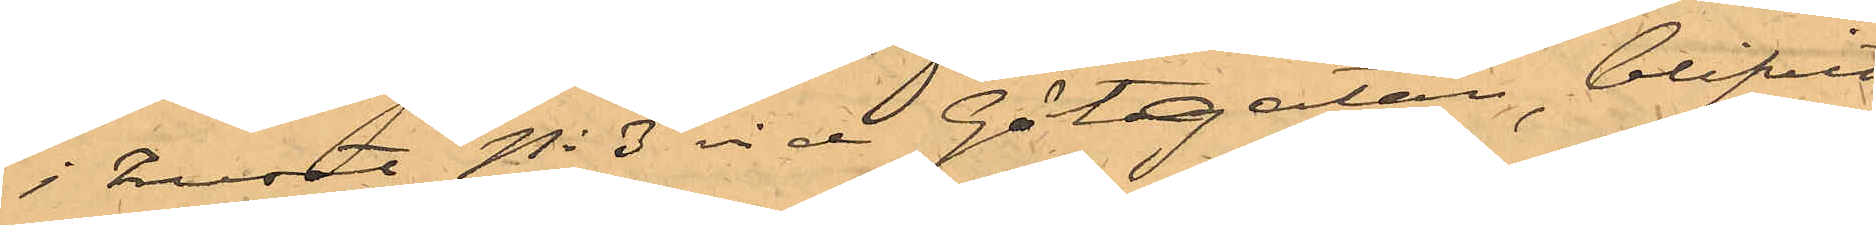i huset No 3 vid Götgatan, blifvit
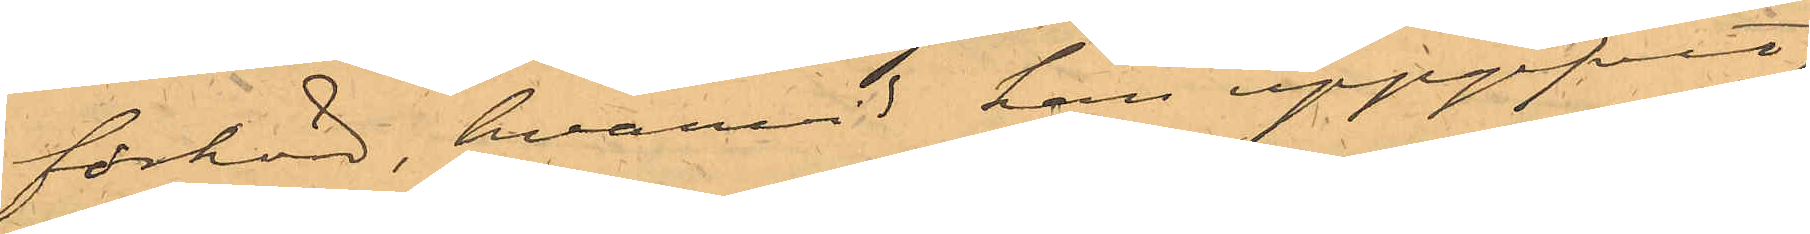förhörd, hvarvid han uppgifvit,
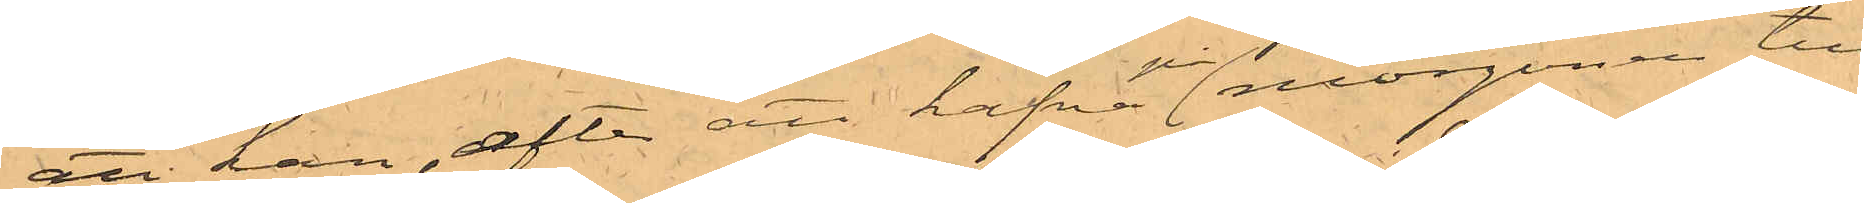att han, efter att hafva på morgonen till
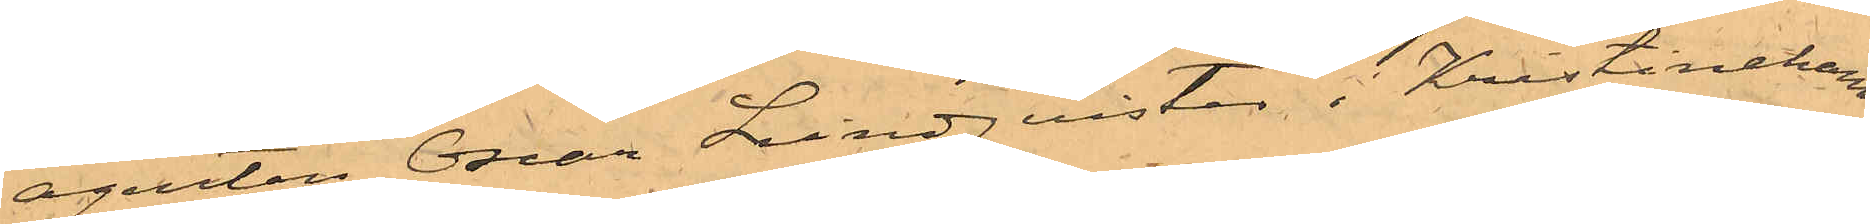agenten Oscar Lindquist i Kristinehamn
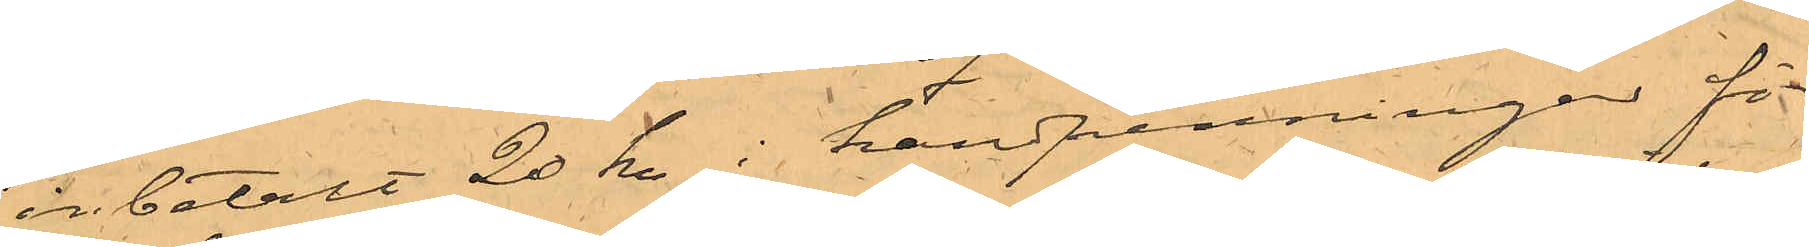inbetalt 20 kr i handpenningar för
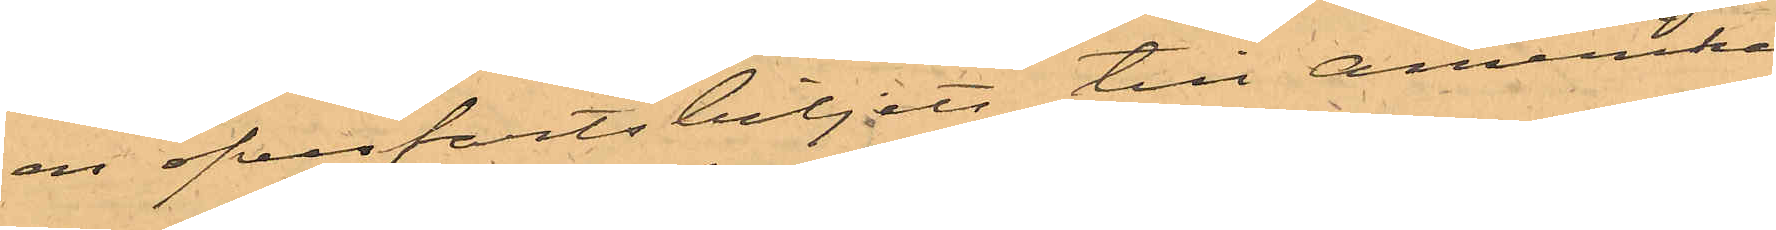en öfverfartsbiljett till Amerika
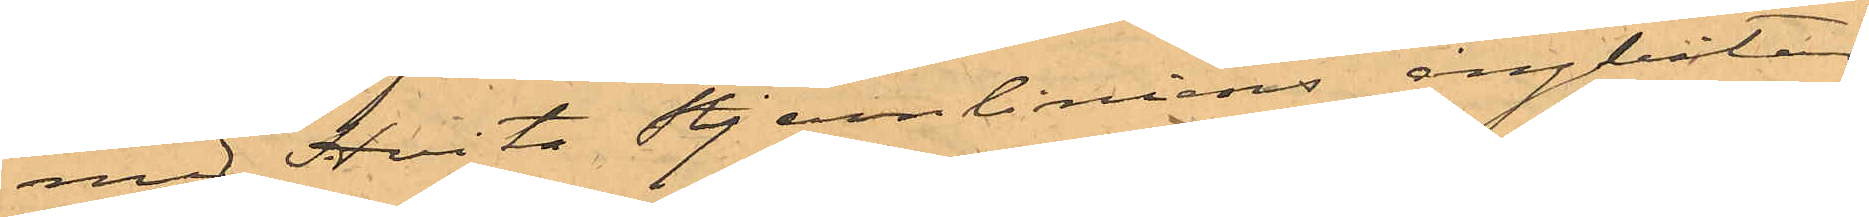med Hvita Stjernliniens ångbåtar,
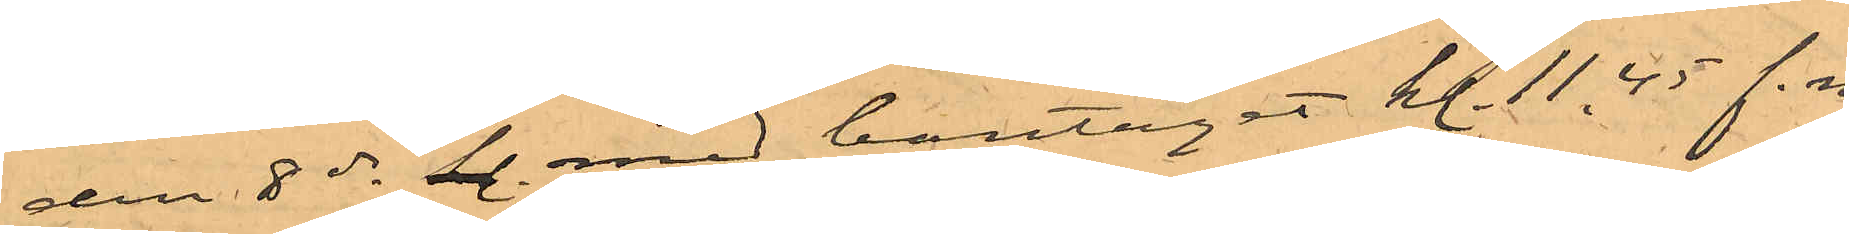den 8 ds kl. med bantåget kl. 11.45 f.m.
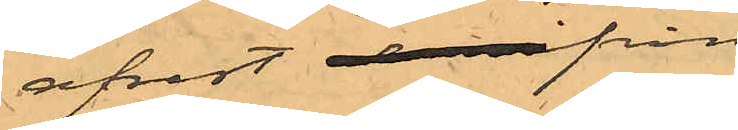afrest derifrån
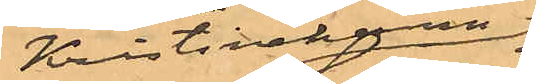Kristinehamn
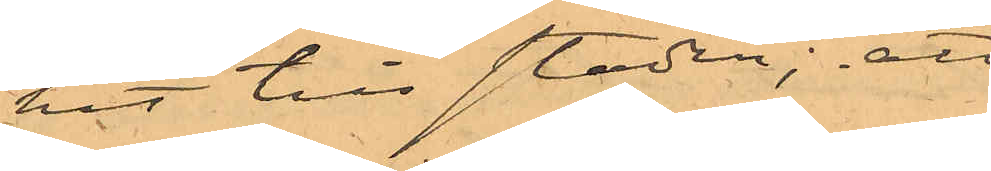hit till staden; att
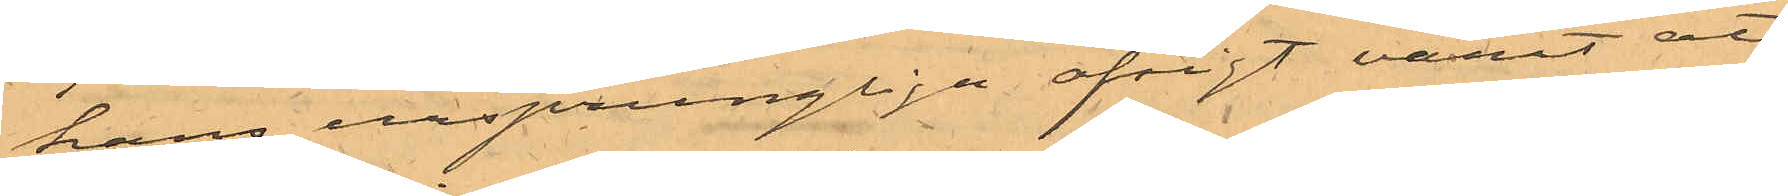hans ursprungliga afsigt varit att
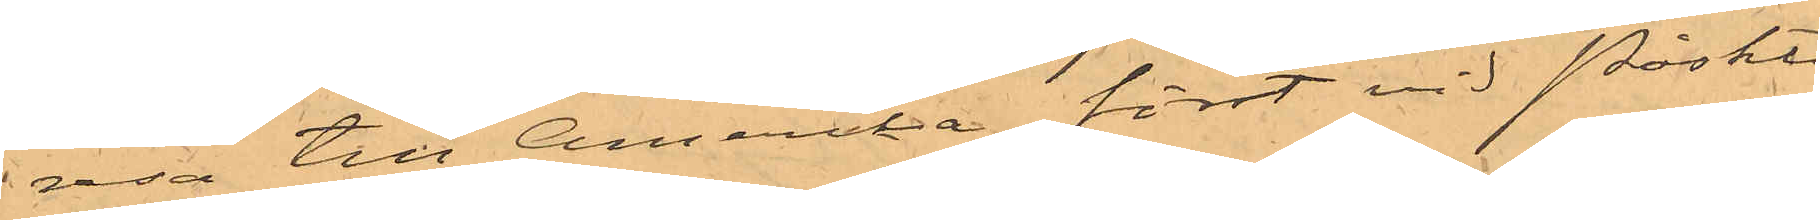resa till Amerika först vid Påskti¬
